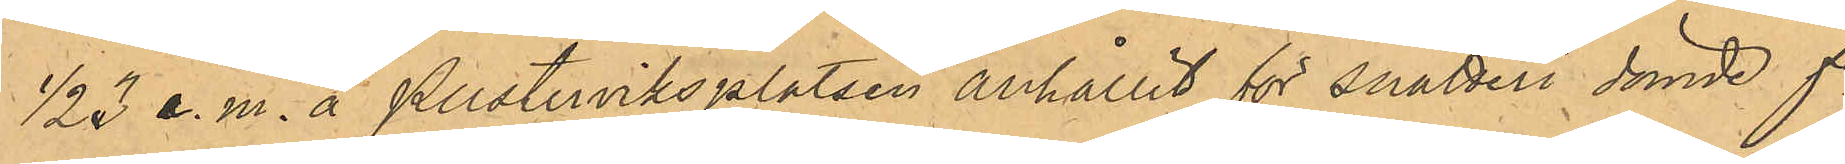1/2 3 e.m. å Pusterviksplatsen anhållit för snatteri dömde fe
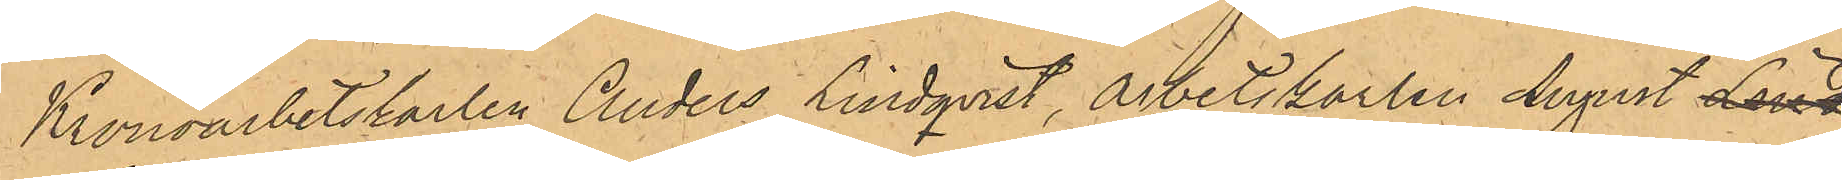Kronoarbetskarlen Anders Lindqvist, Arbetskarlen August Lind
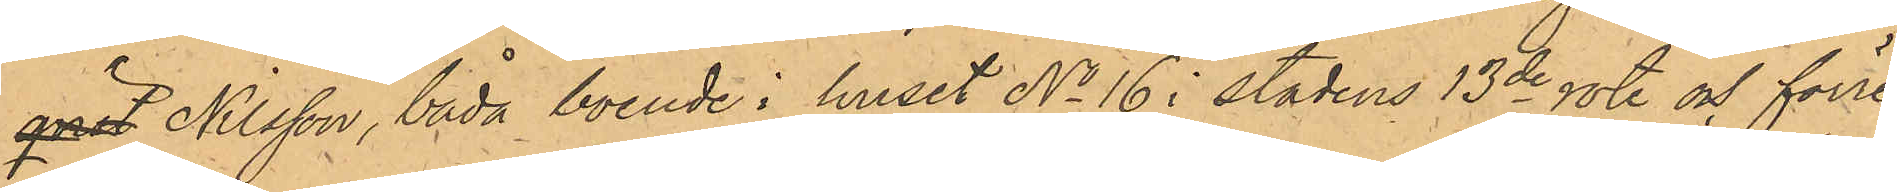qvist Nilsson, båda boende i huset No 16 i stadens 13de rote och förre
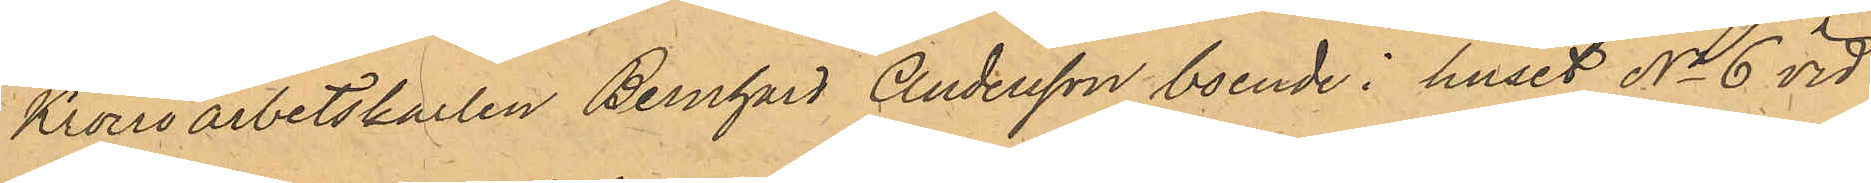Kronoarbetskarlen Bernhard Andersson, boende i huset No 6 vid
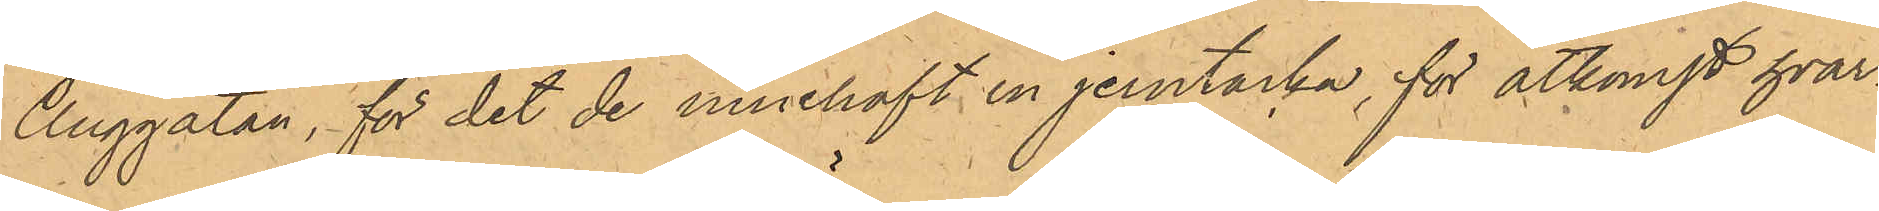Änggatan, för det de innehaft en jerntacka, för åtkomst hvar¬
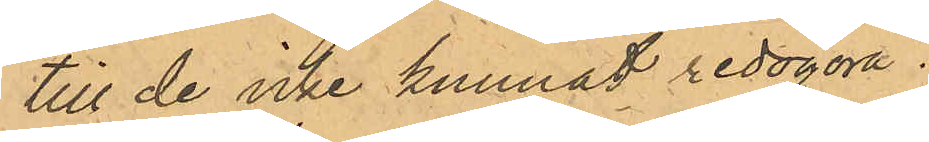till de icke kunnat redogöra.
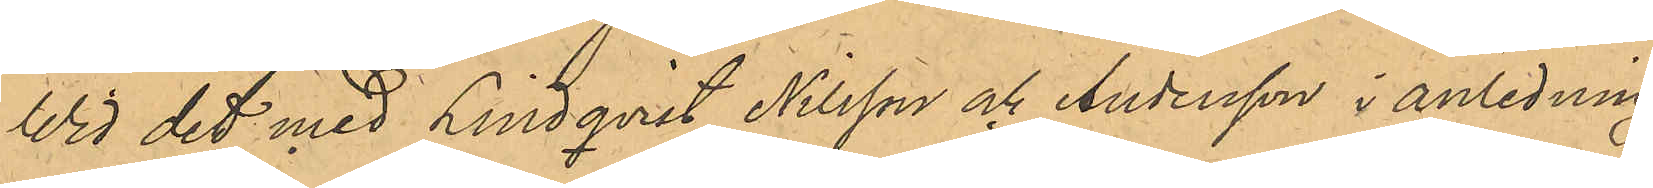Wid det med Lindqvist, Nilsson och Andersson i anledning
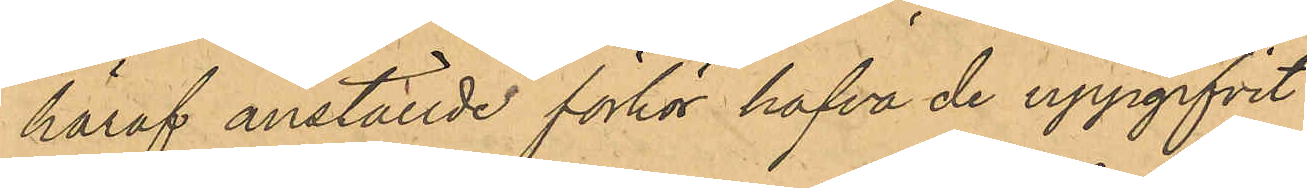häraf anställde förhör hafva de uppgifvit
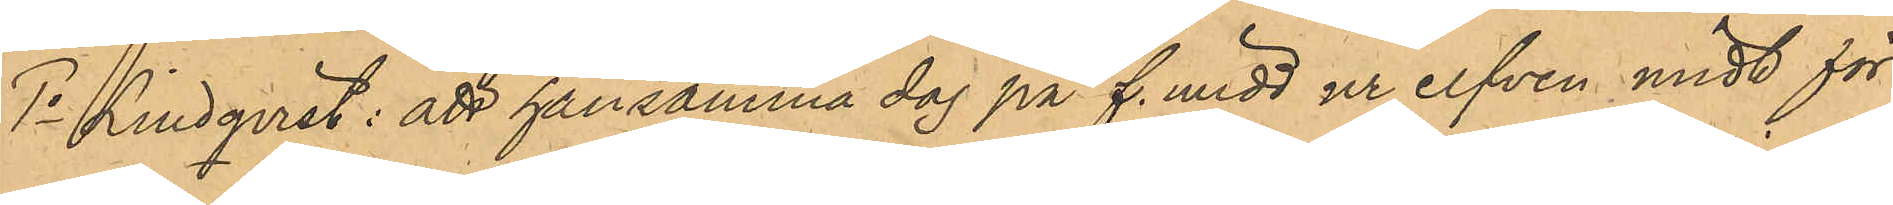1o Lindqvist: att han samma dag på f. midd ur elfven midt för
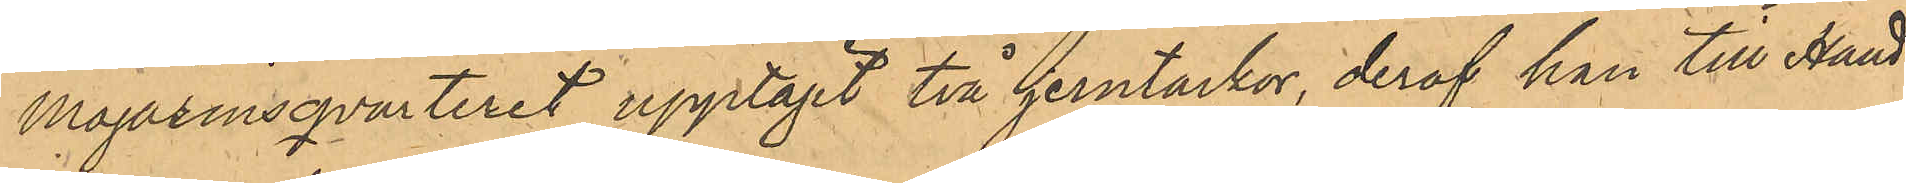Magazinsqvarteret upptagit två jerntackor, deraf han till Hand¬
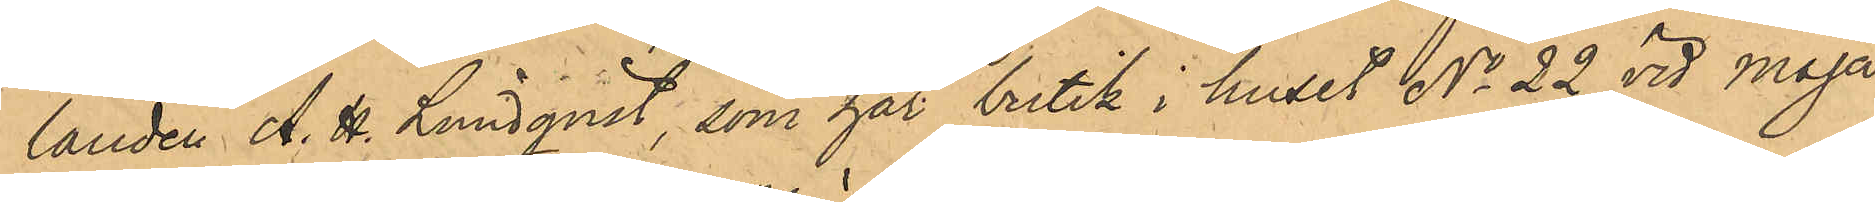landen A. H. Lundqvist, som har butik i huset No 22 vid Maga¬
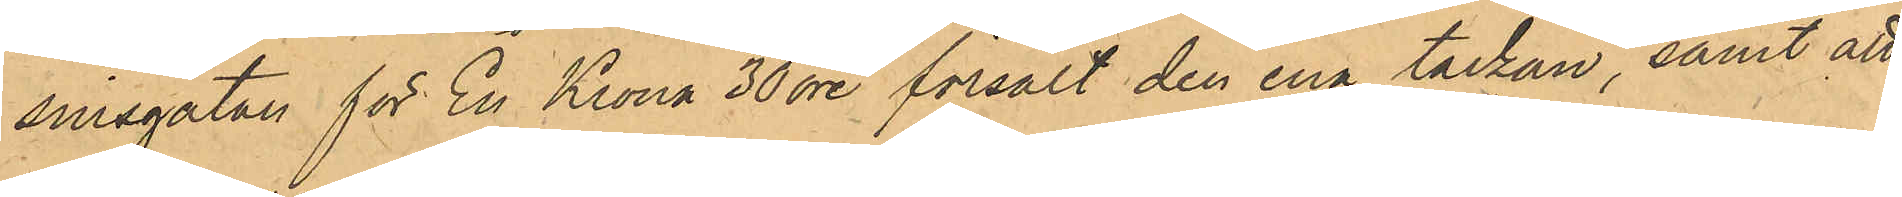sinsgatan för En Krona 30 öre försålt den ena tackan, samt att
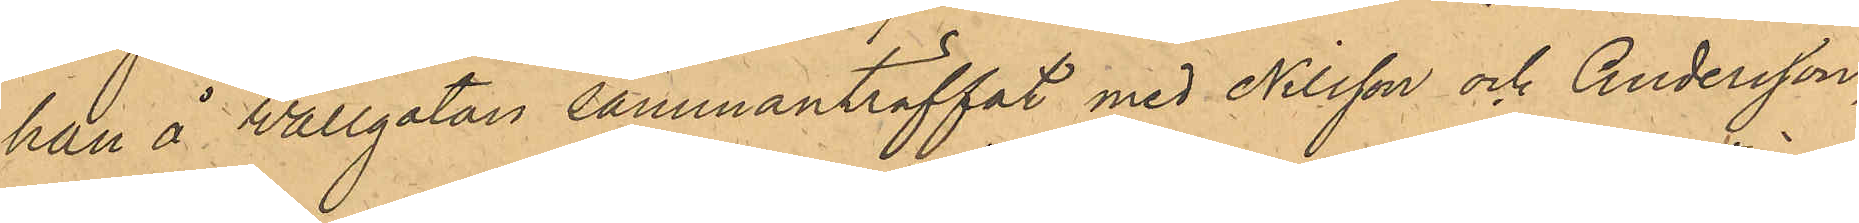han å Wallgatan sammanträffat med Nilsson och Andersson,
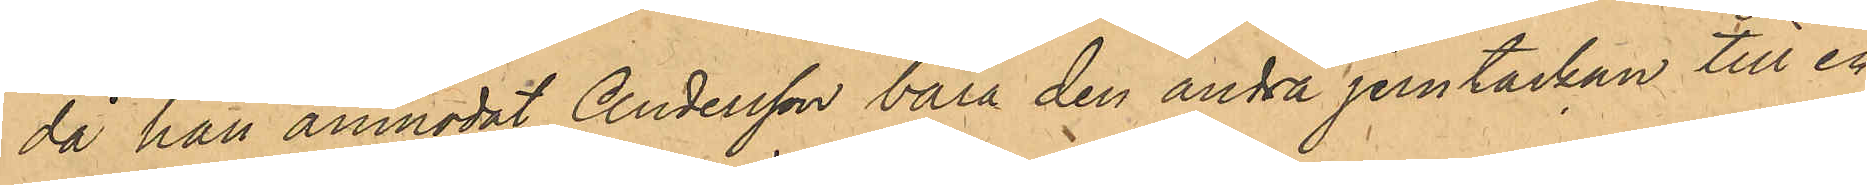då han anmodat Andersson bära den andra jerntackan till en
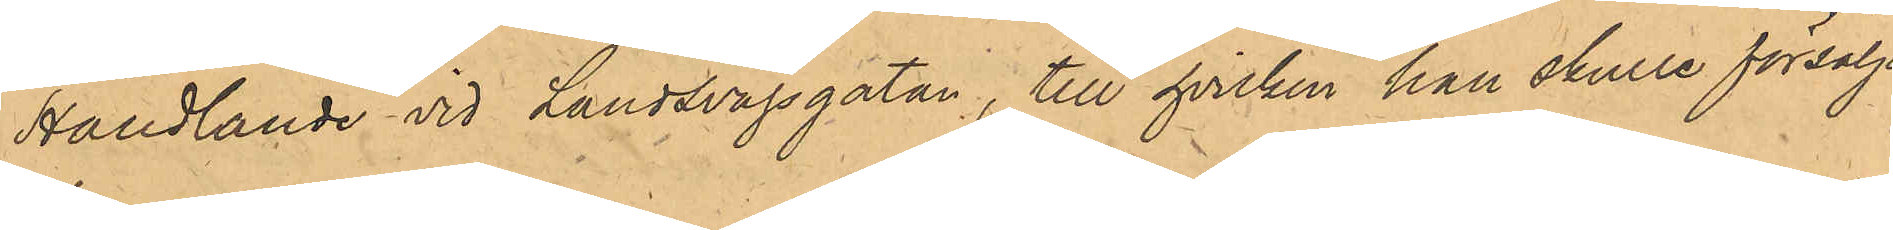Handlande vid Landsvägsgatan, till hvilken han skulle försälja
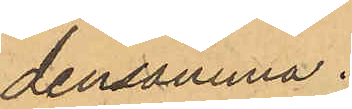densamma.
